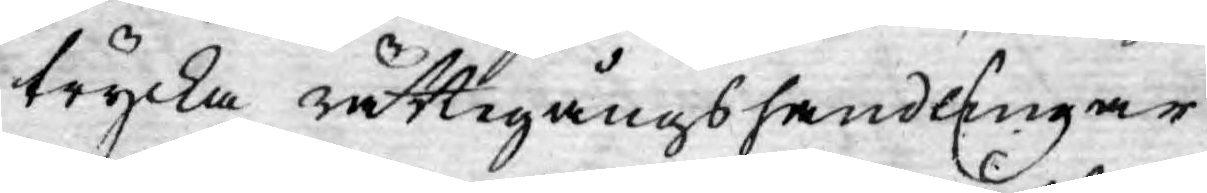trycka rättegångshandlingar
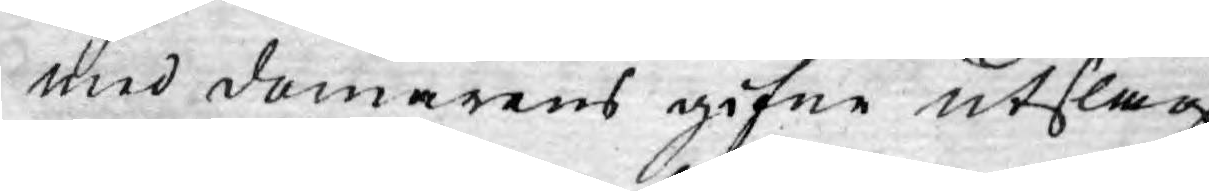med domarens gifne Utslag;
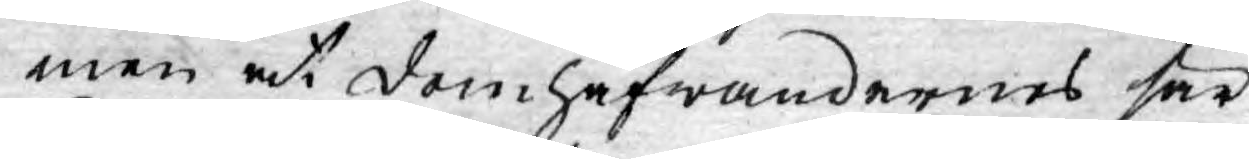men at domhafwandernes sär¬
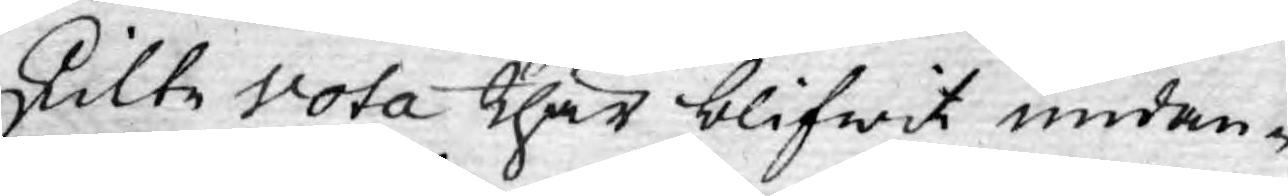skilte Vota thär blifwit undan¬
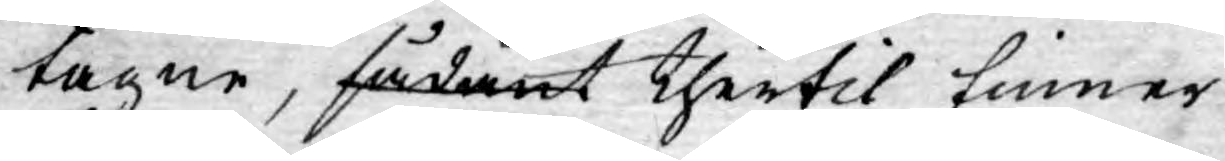tagne, sådant thertil finner
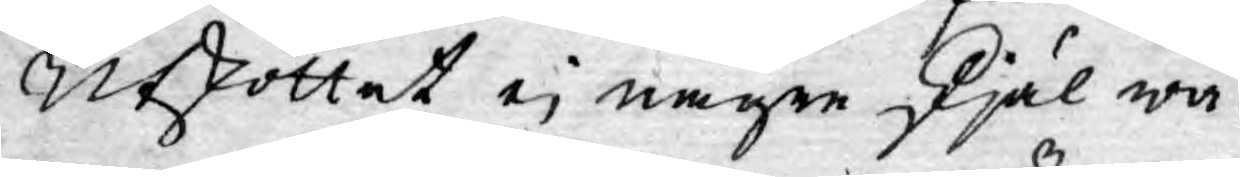Utskottet ej någre skjäl wa¬
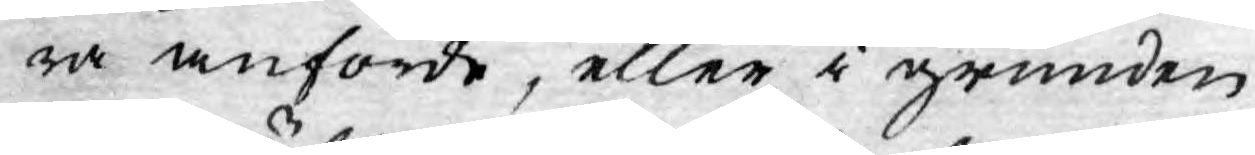ra anförde, eller i grunden
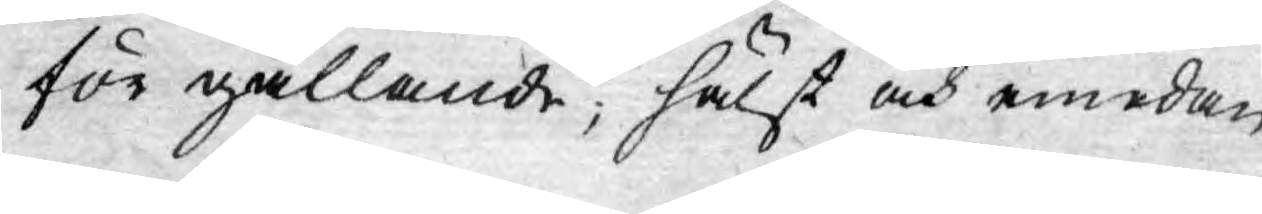för gällande; hälst och emedan
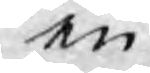en
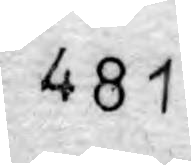481
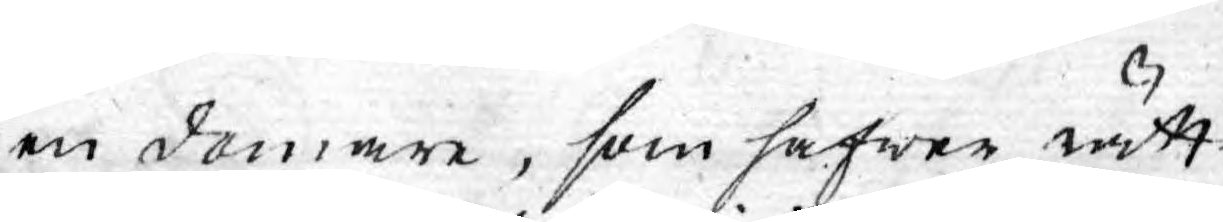en domare, som hafwer rätt¬
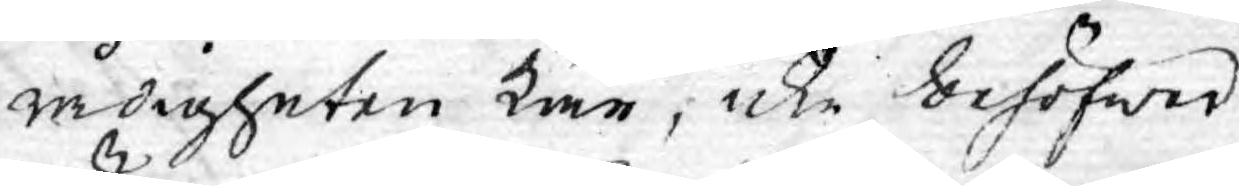rådigheten kär, icke behöfwer
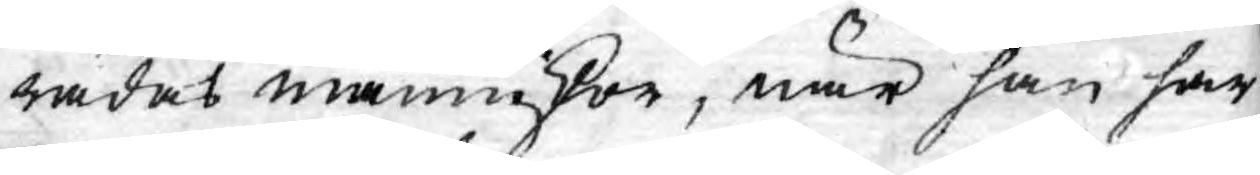rädas människor, när han har
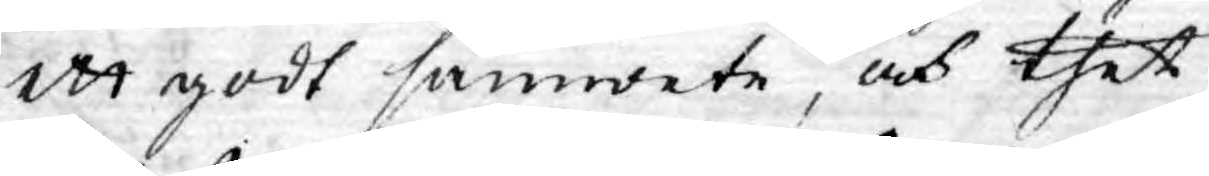ett godt samwete, och thet
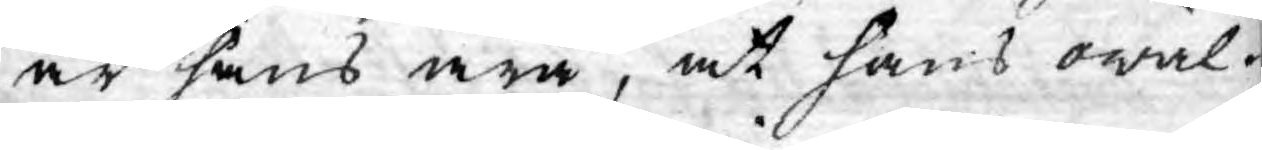är hans ära, at hans owäl¬
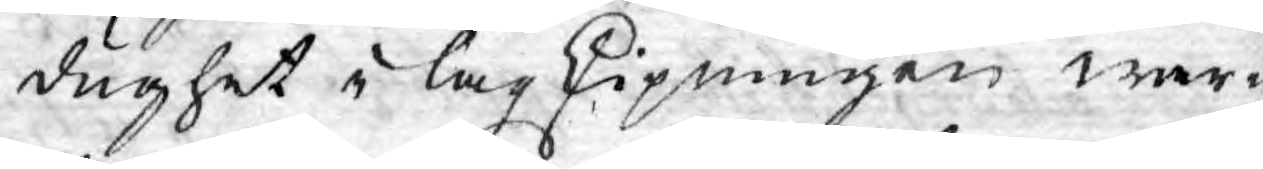dughet i lagskipningen war¬
